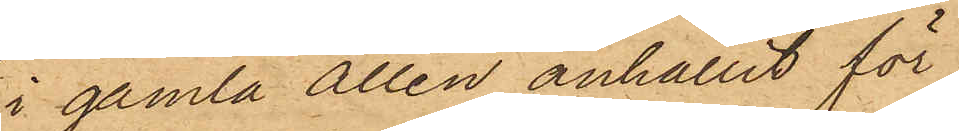i gamla allén anhållit för
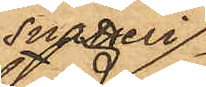snatteri
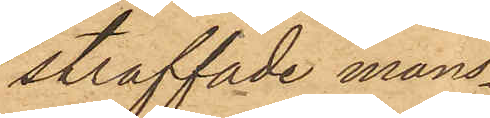straffade mans¬
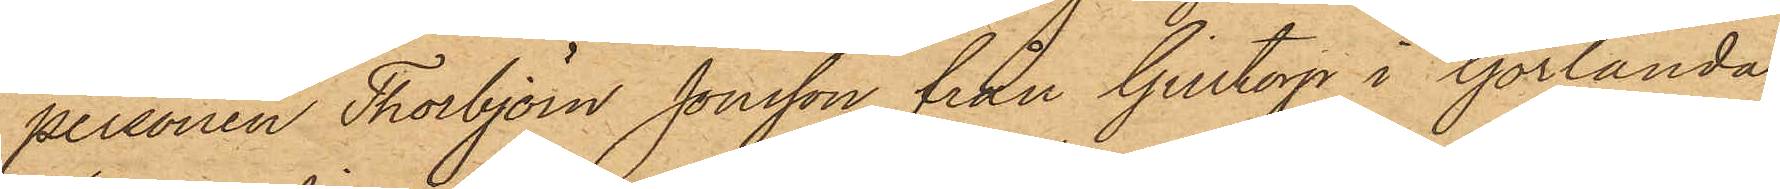personen Thorbjörn Jonsson från Gilltorp i Görlanda
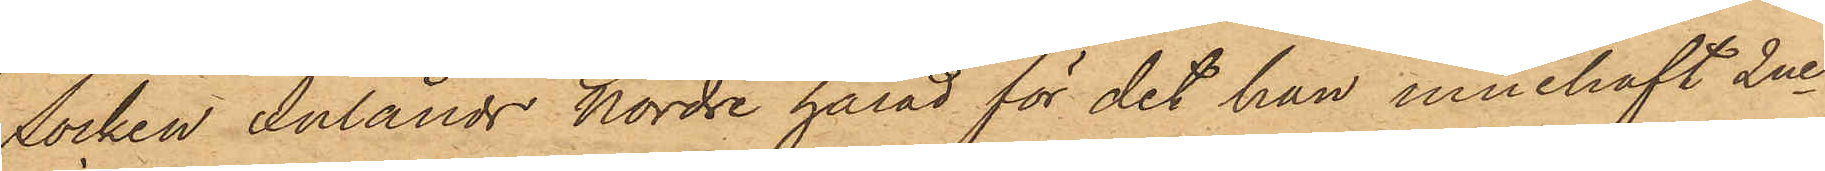socken Inlands nordre härad för det han innehaft 2ne
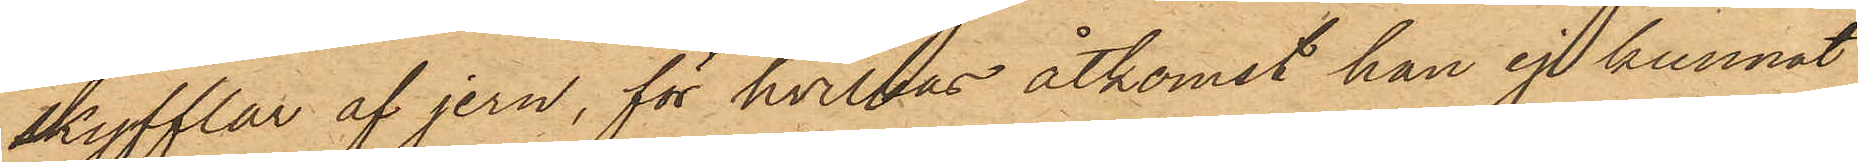skyfflar af jern, för hvilkas åtkomst han ej kunnat
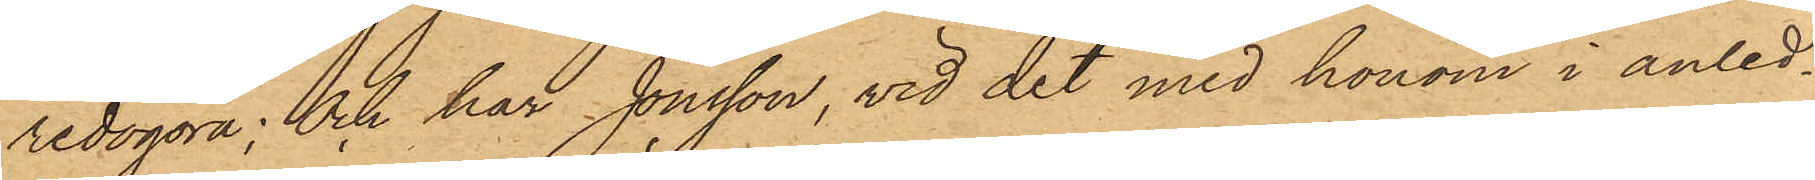redogöra; och har Jonsson, vid det med honom i anled¬
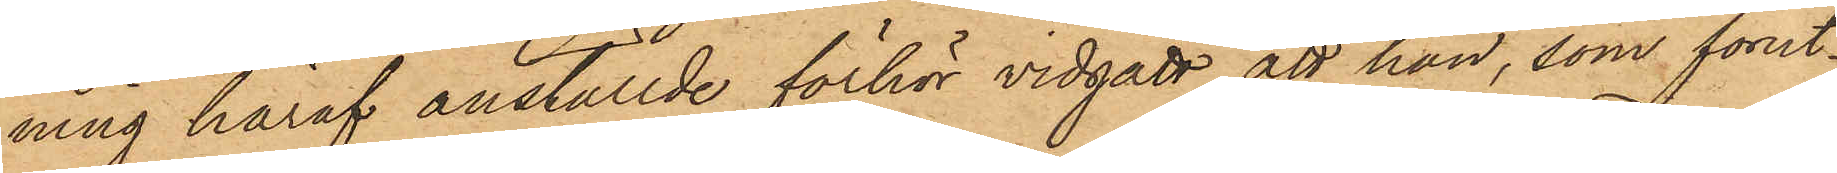ning häraf anställde förhör vidgått, att han, som förut¬
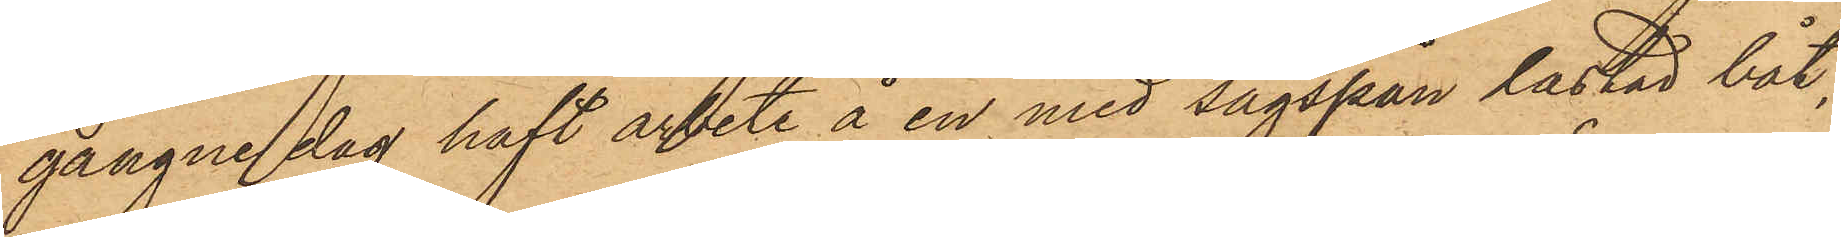gångne dag haft arbete å en med sågspån lastad båt,
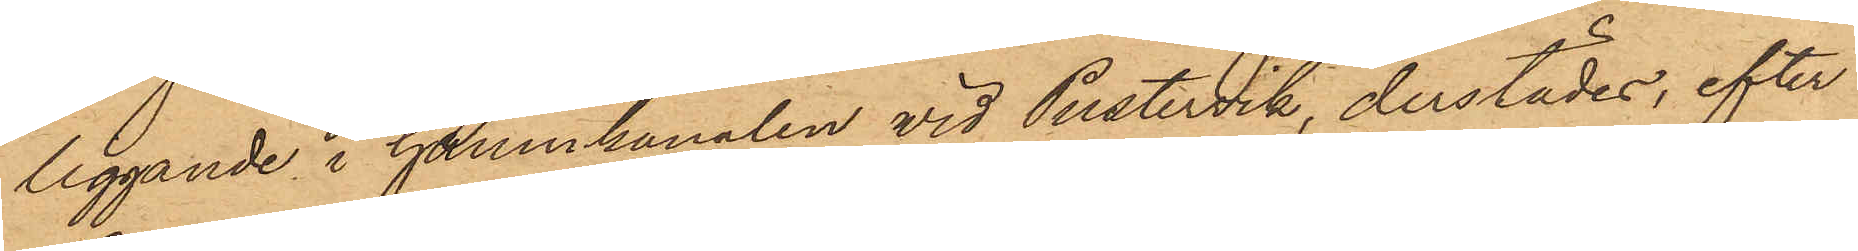liggande i Hamnkanalen vid Pustervik, derstädes, efter
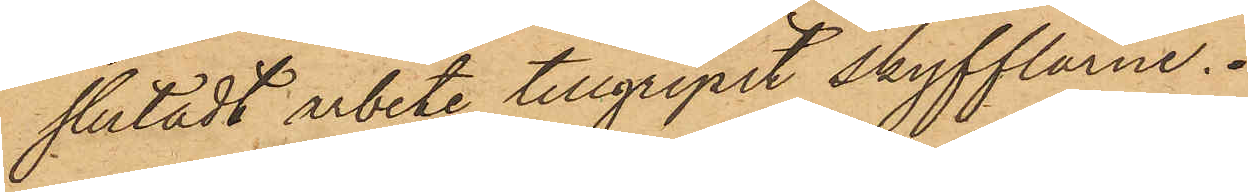slutadt arbete tillgripit skyfflarne.
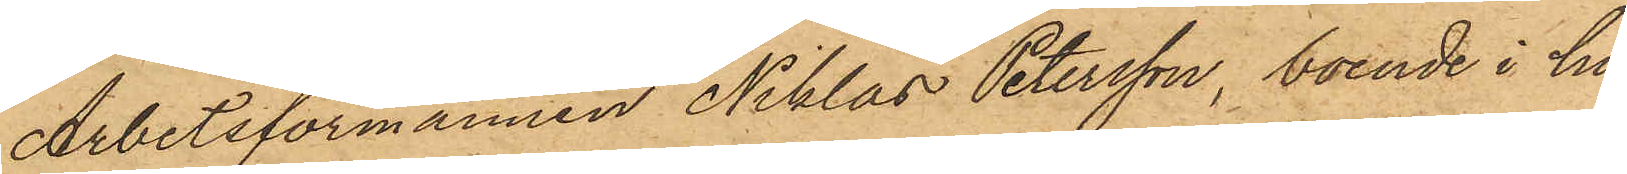Arbetsförmannen Niklas Petersson, boende i hu¬
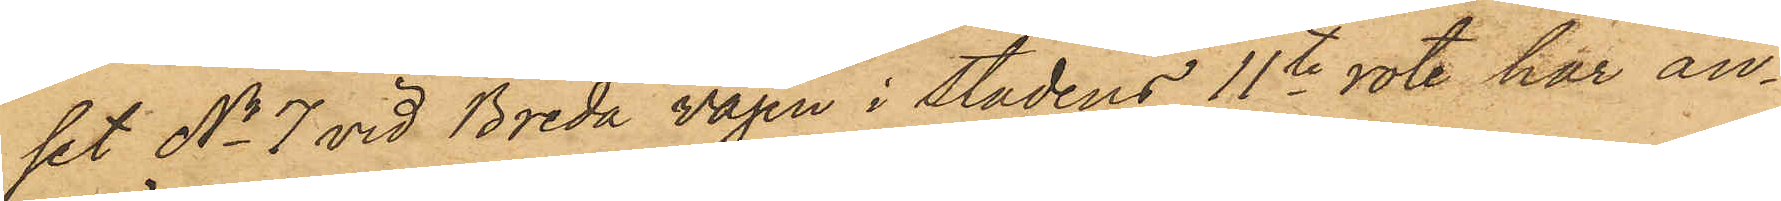set No 7 vid Breda vägen i stadens 11te rote har an¬
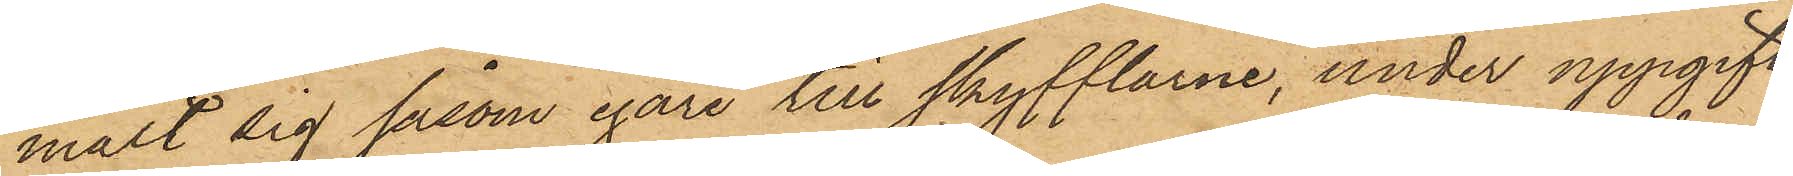mält sig såsom egare till skyfflarne, under uppgift,
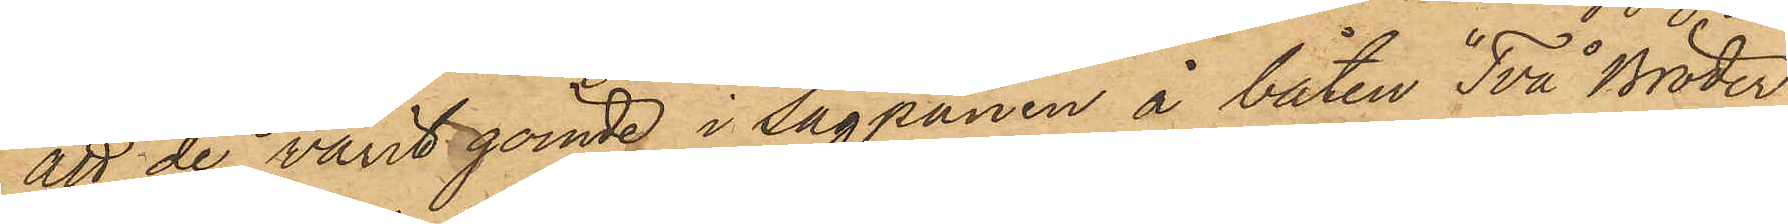att de varit gömde i sågspånen å båten "Två Bröder"
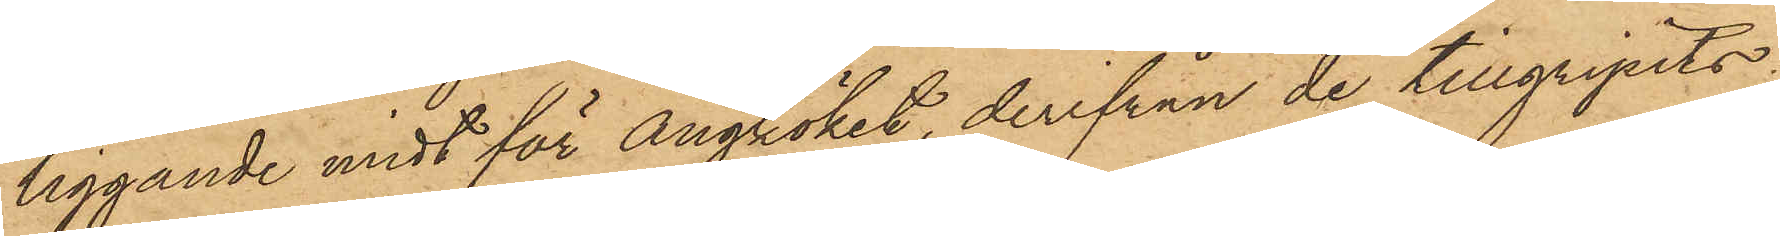liggande midt för ångköket, derifrån de tillgripits:
